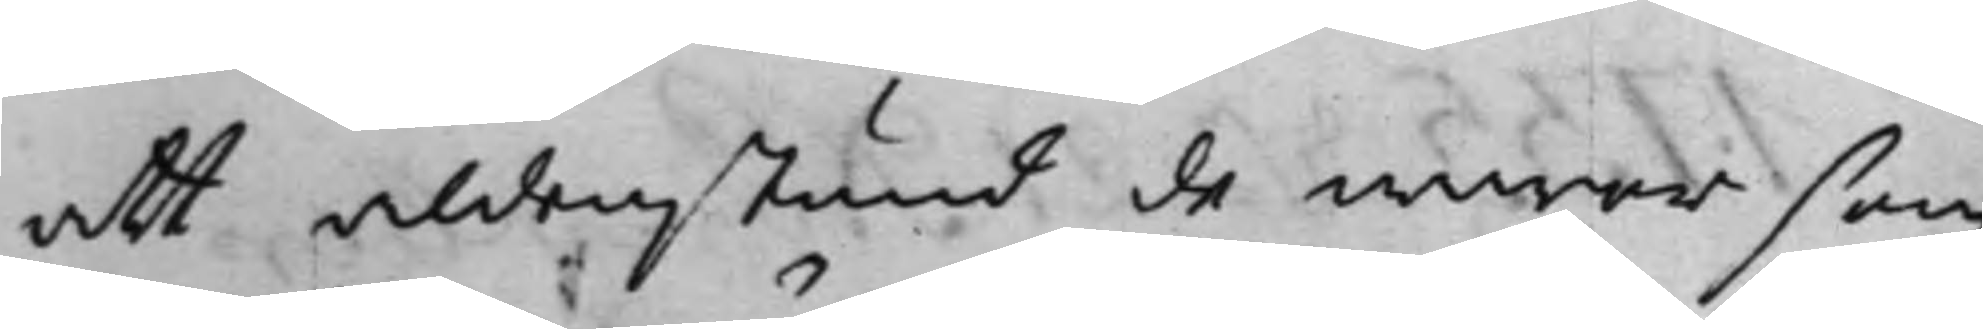att aldenstund de waror som
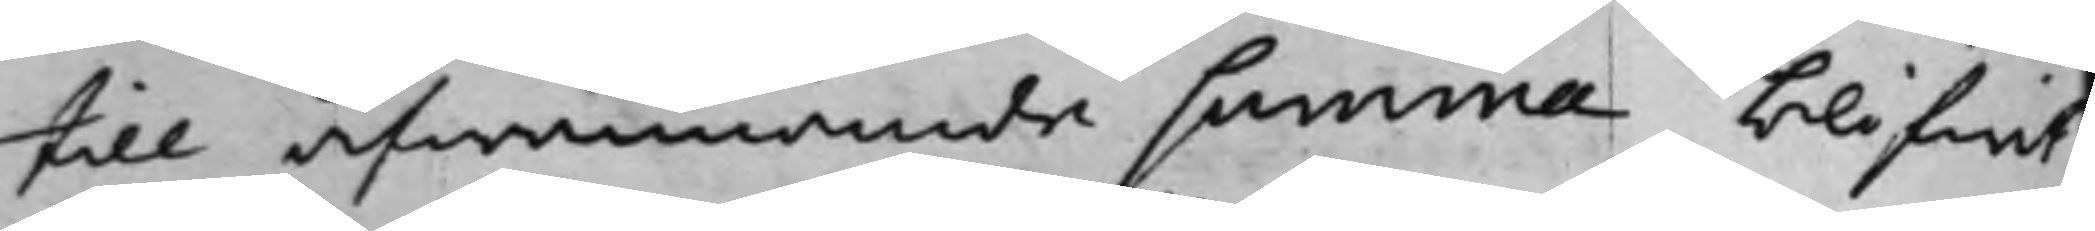till åfwannämde summa blifwit
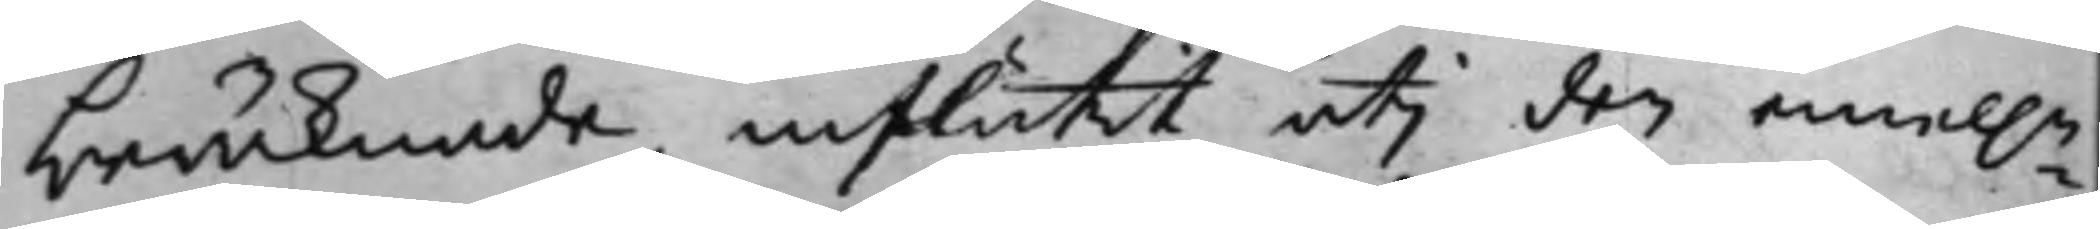beräknade, influtit uti den emel.n
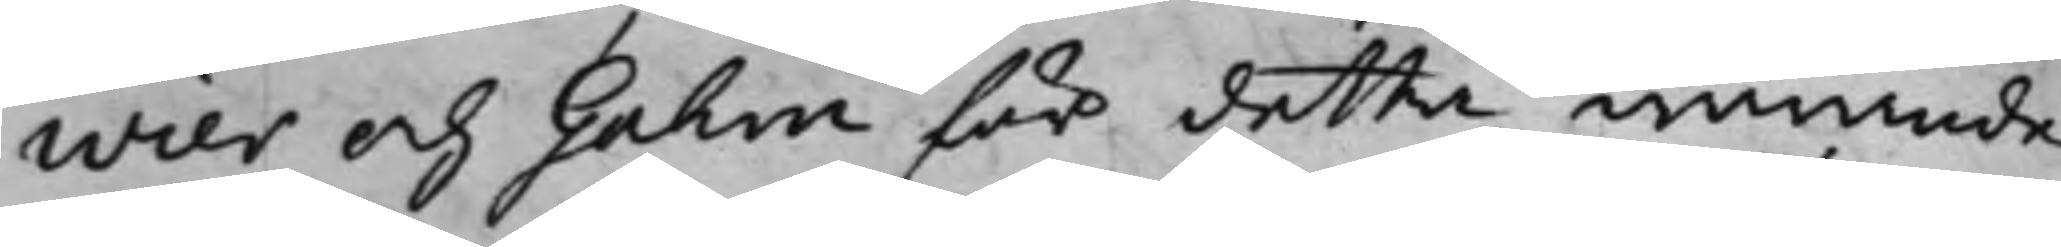Wier och Gahm för detta warande
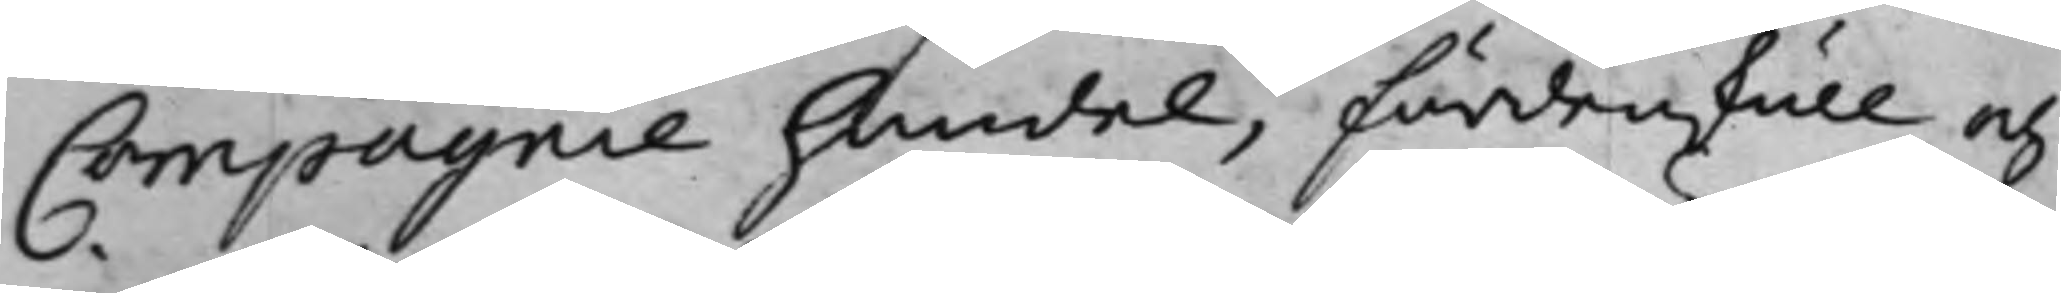Compagnie handel, fördenskull och
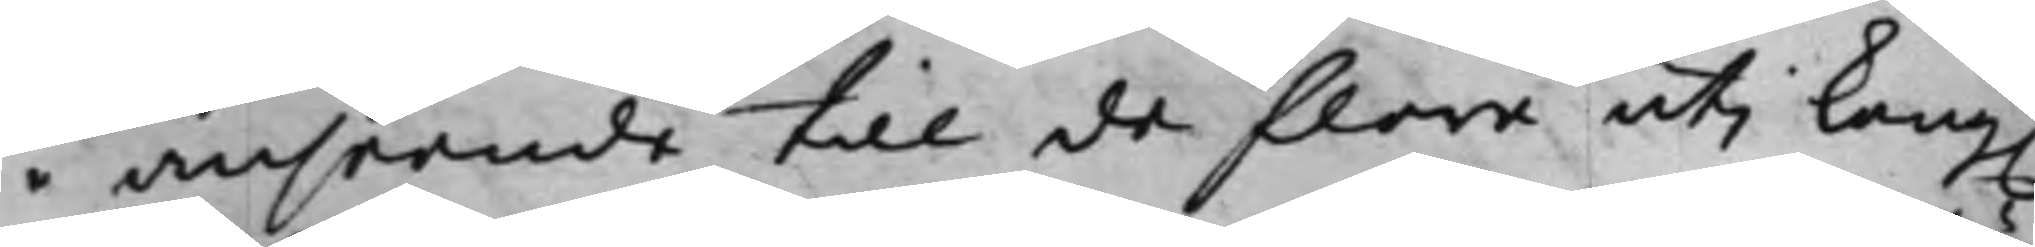i anseende till de flera uti Kong.
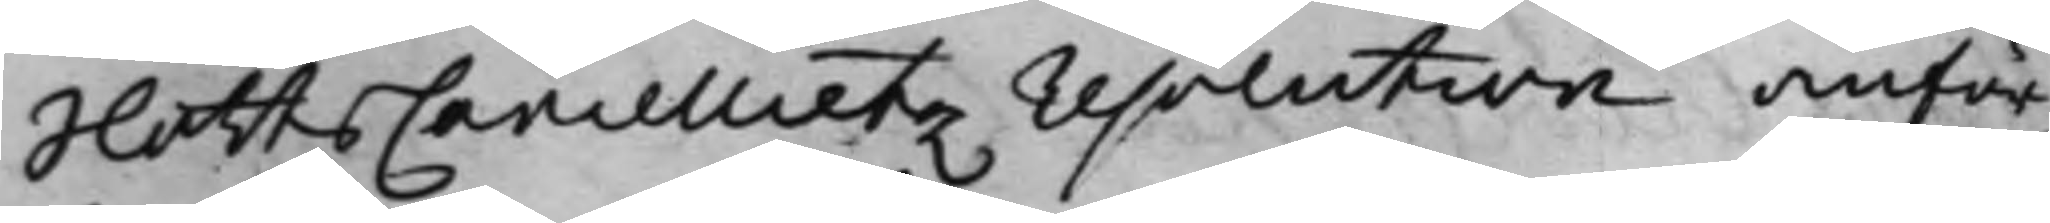SlottsCancellietz resolution anför¬
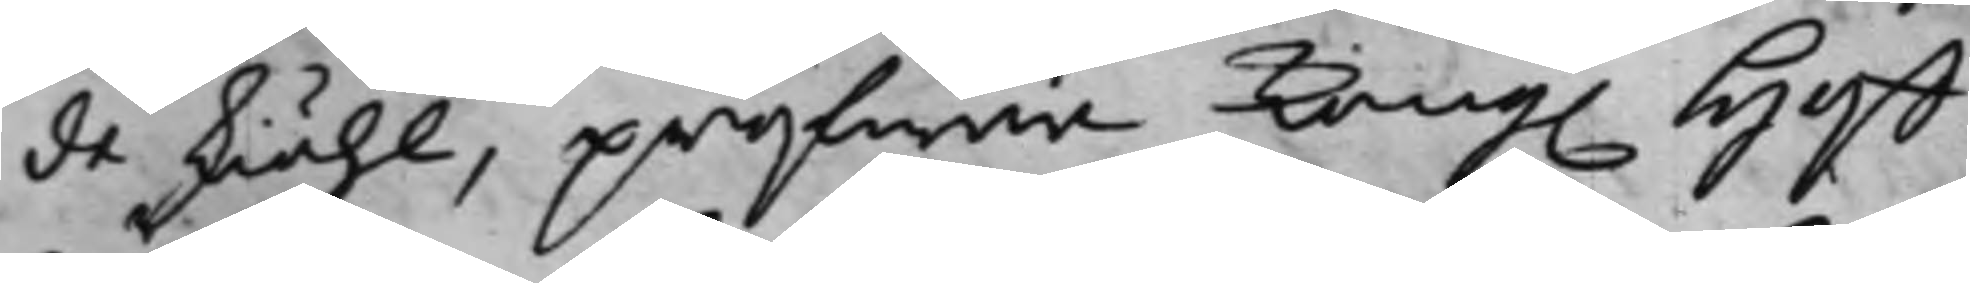de skiähl, pröfwar Kong. Hoff¬
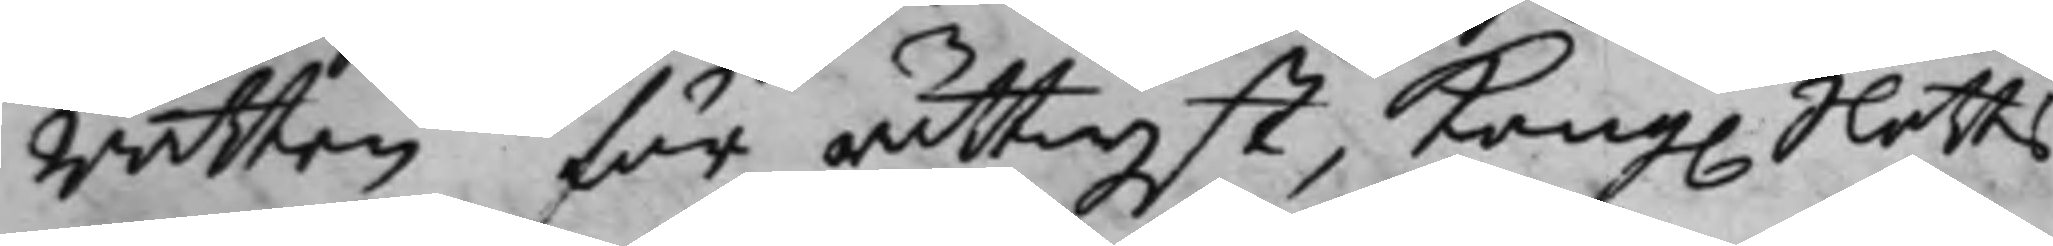Rätten för rättwijst, Kong. Slotts¬
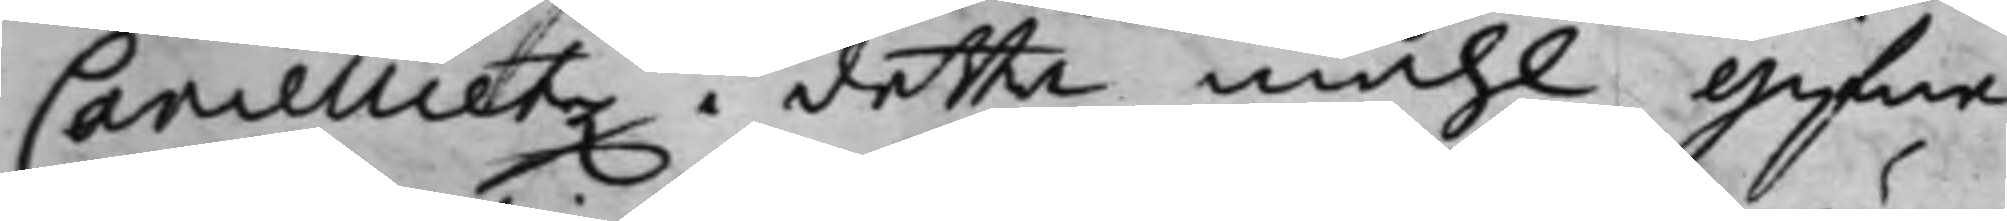Cancellietz i detta måhl gifne
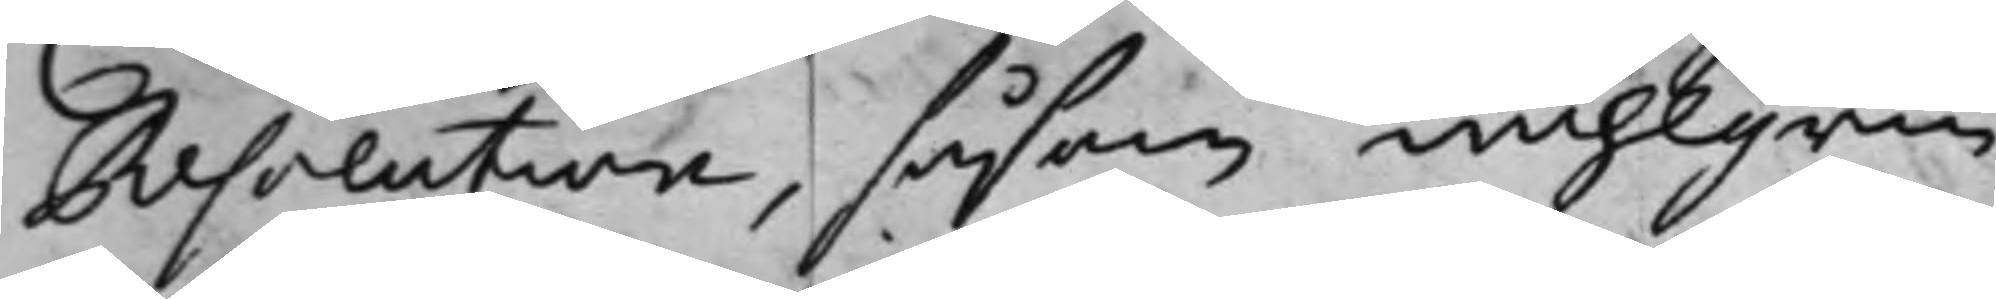Resolution, såsom wählgrun¬
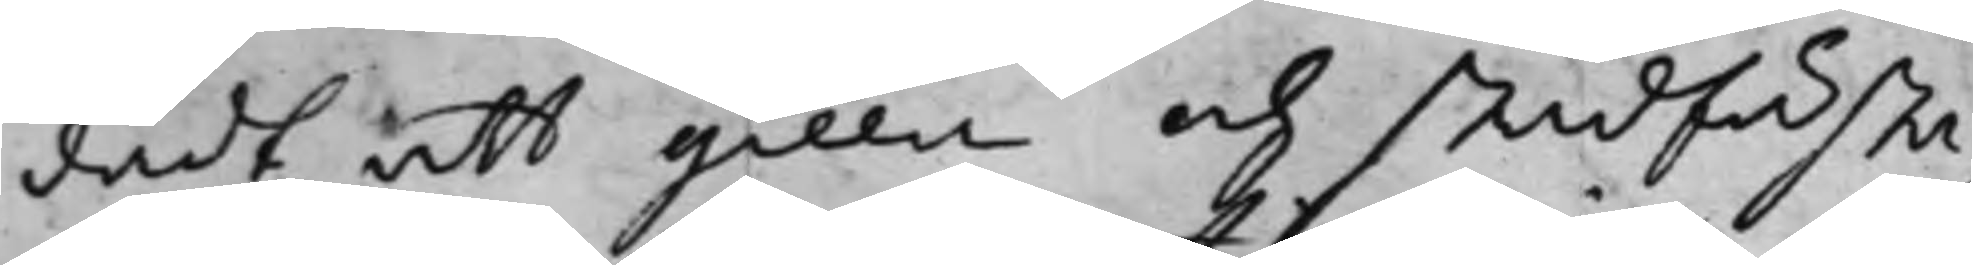dadt, att gilla och stadfästa,
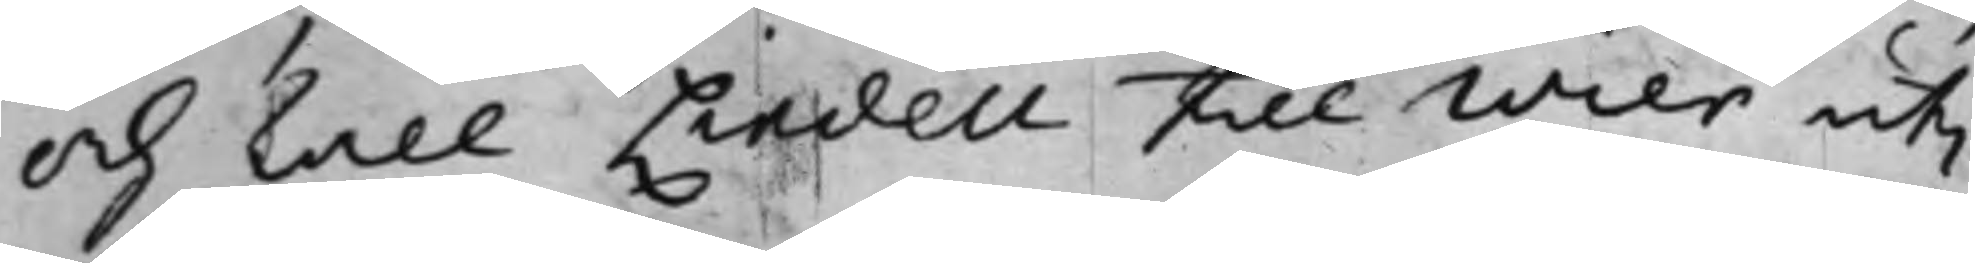och skall Lindell till Wier uti
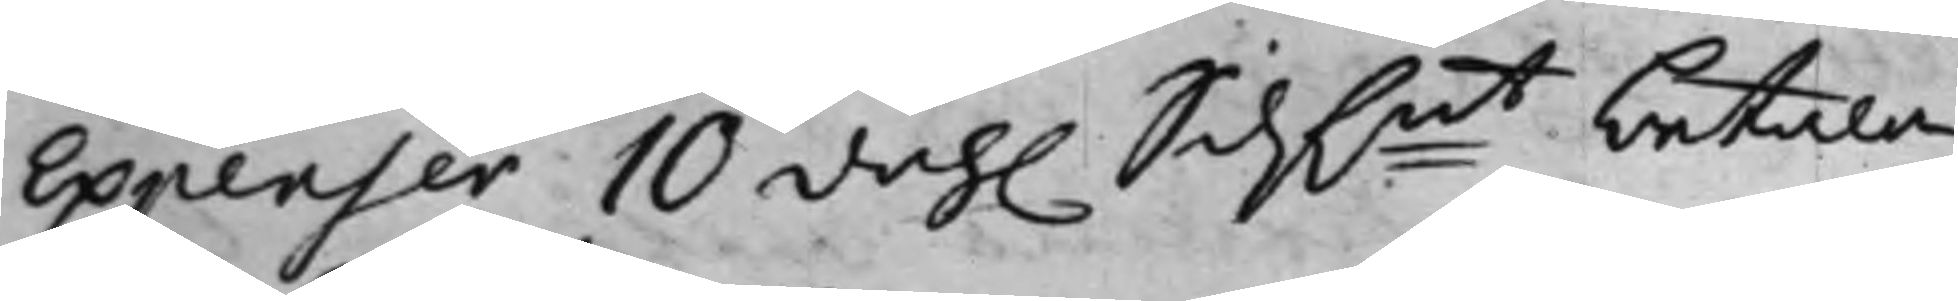Expenser 10 dah. Silf.mt betala.
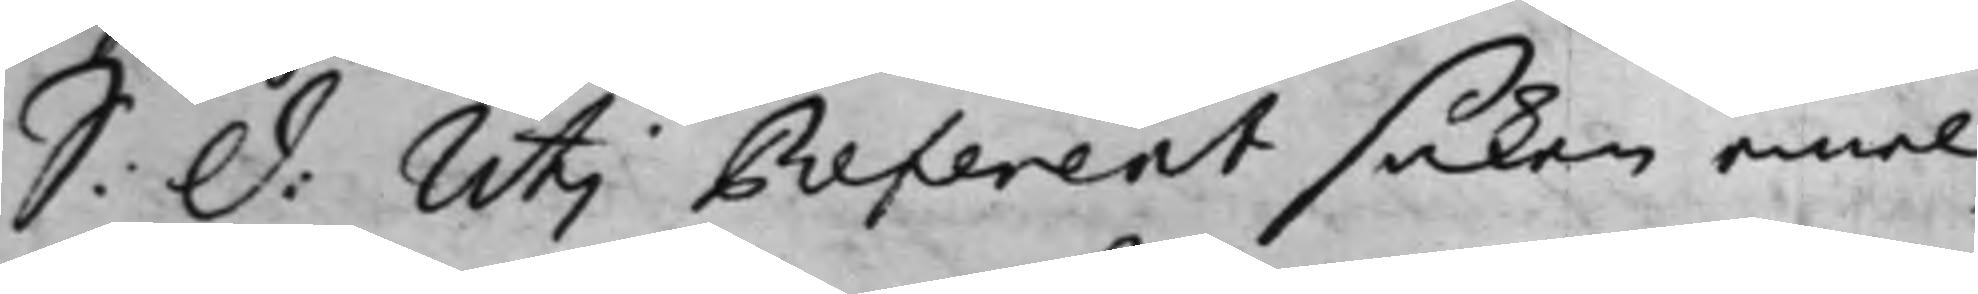S: D: Uti Referent saken emel¬
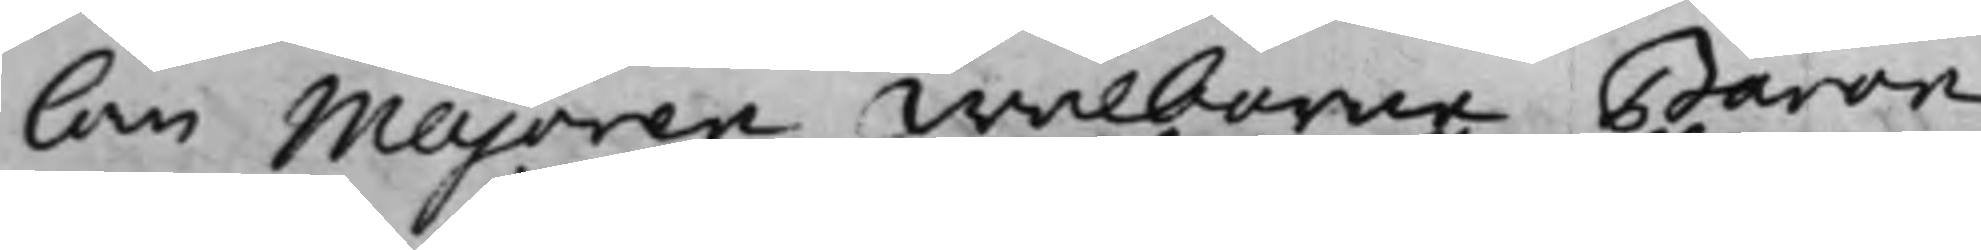lan Majoren Wälborne Baron
